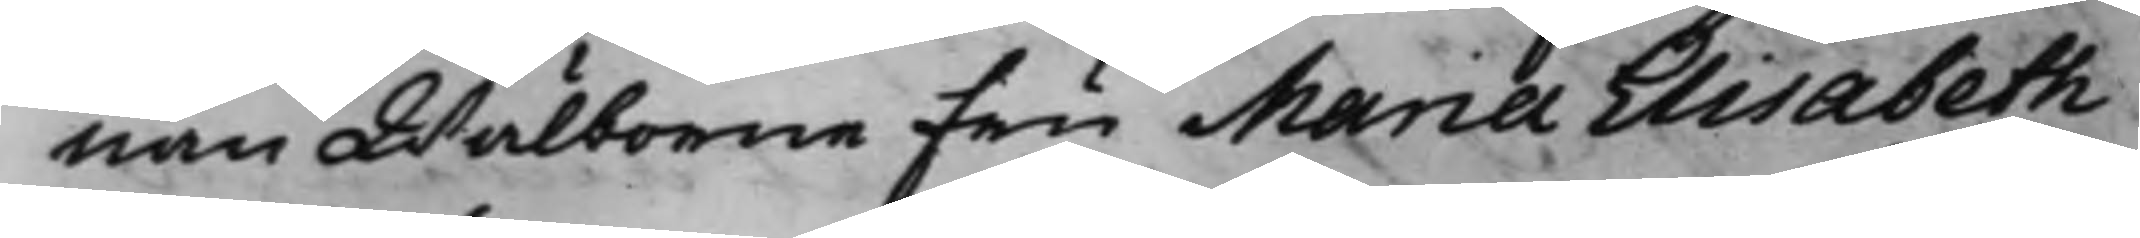nan Wälborne Fru Maria Elisabeth
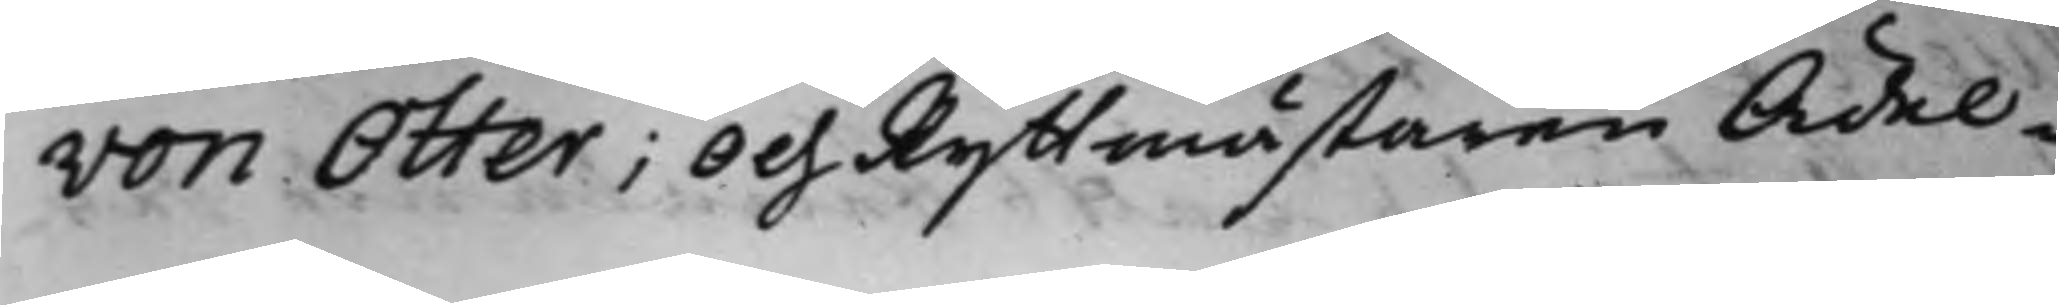von Otter; Och Ryttmästaren Ädel
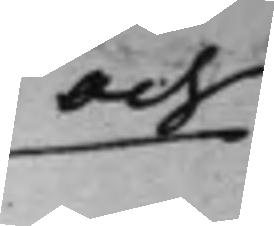och
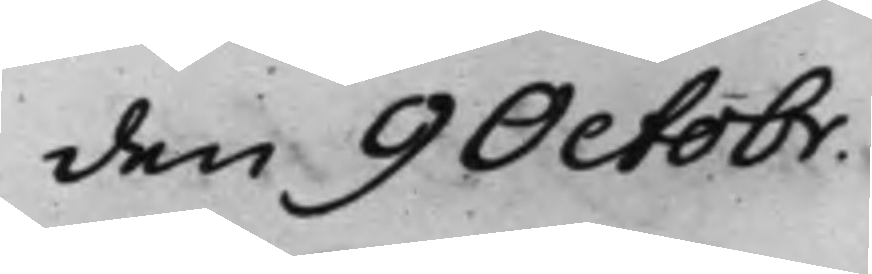den 9 Octobr.
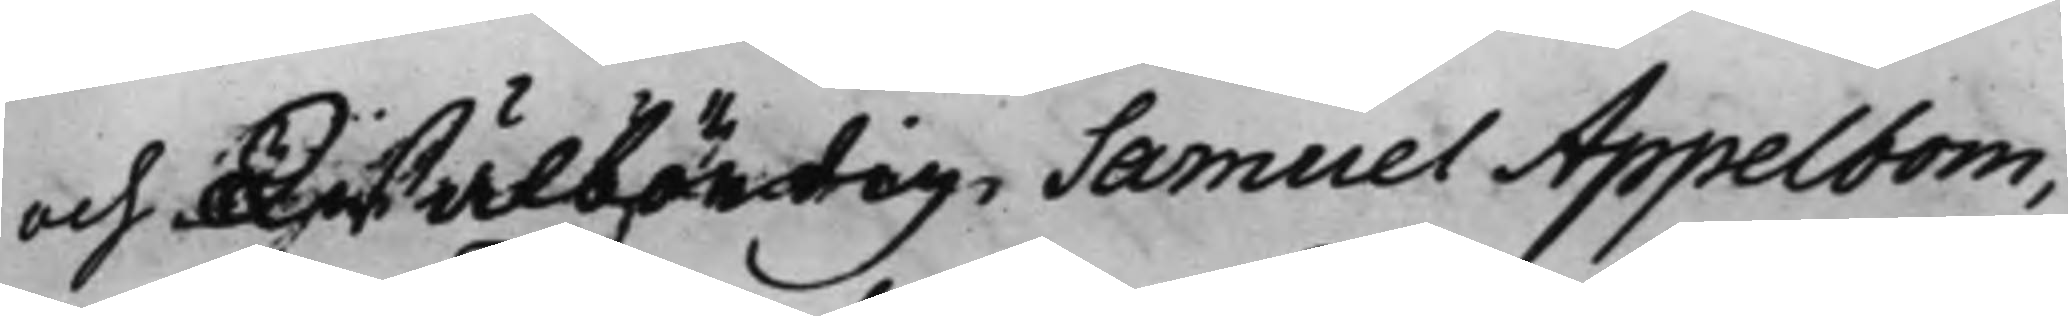och Wälbördig Samuel Appelbom,
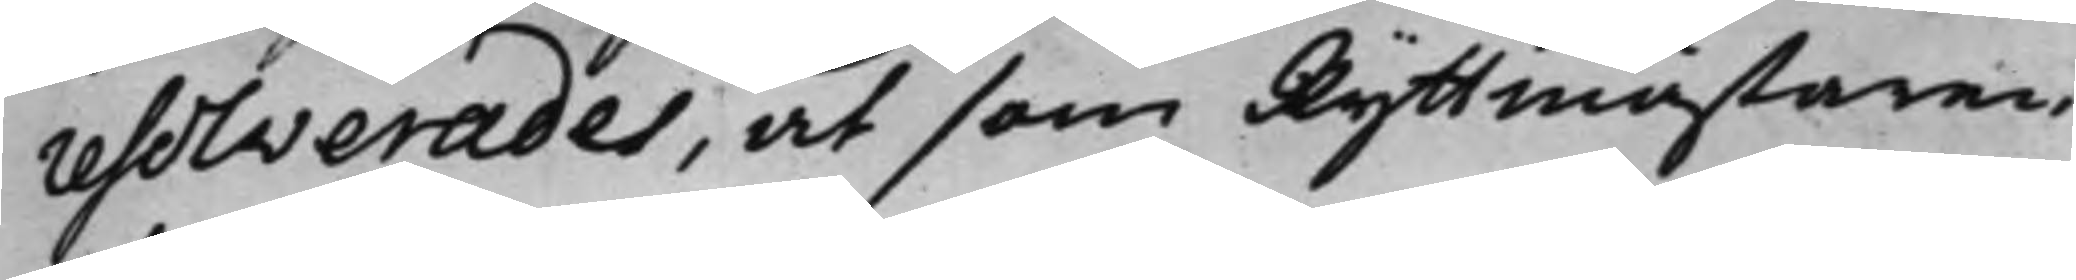resolverades, at som Ryttmästaren
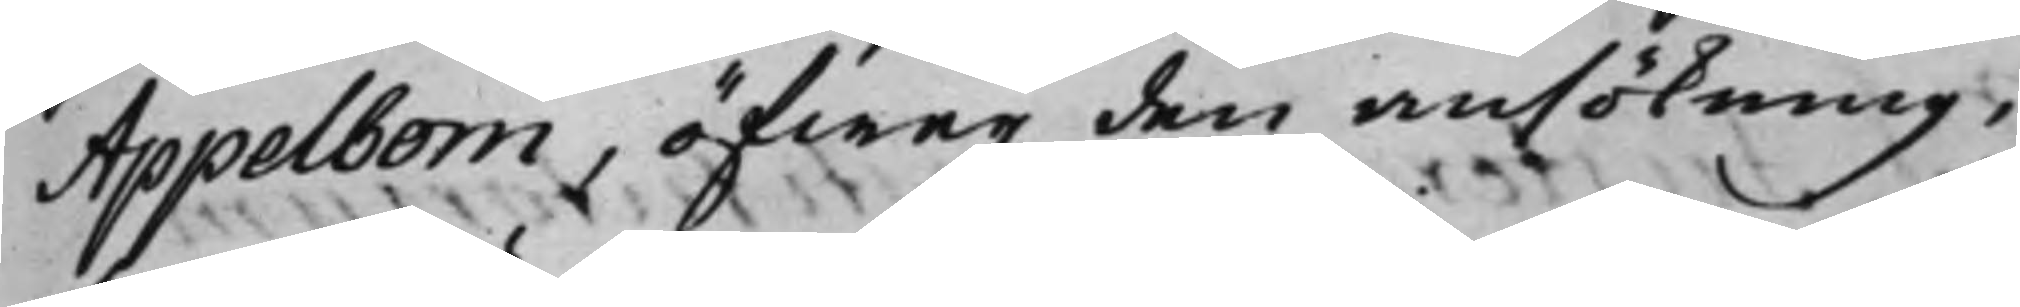Appelbom, öfwer den ansökning,
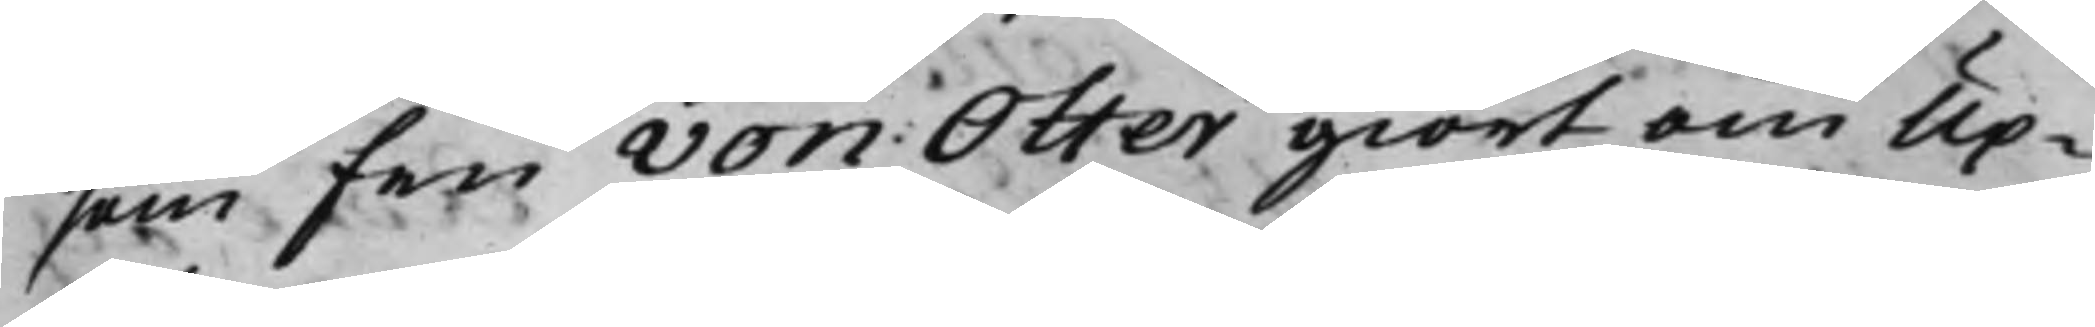som Fru von Otter giort om Up¬
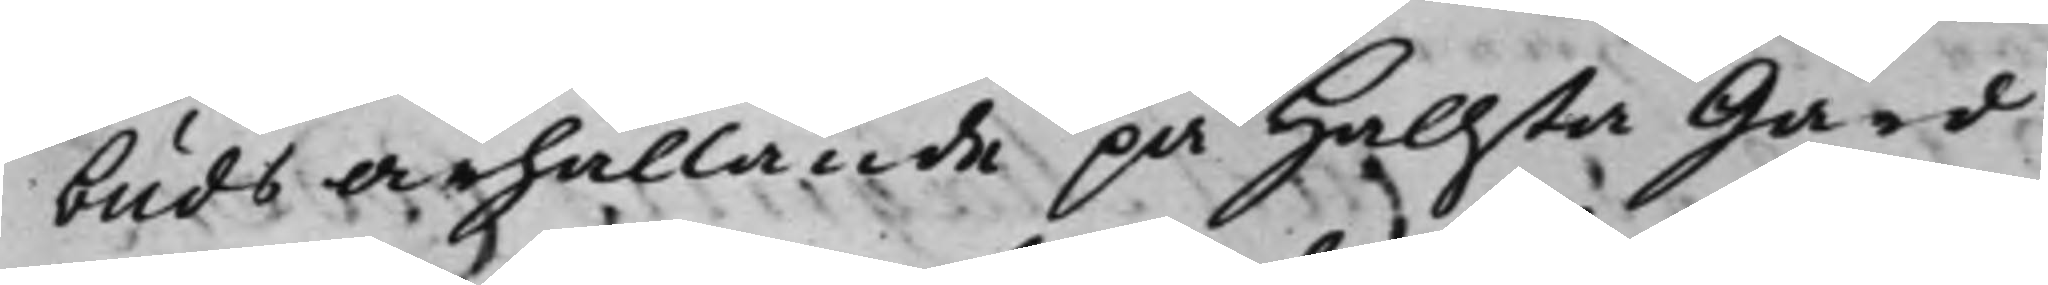buds ärhållande på Hallsta Gård
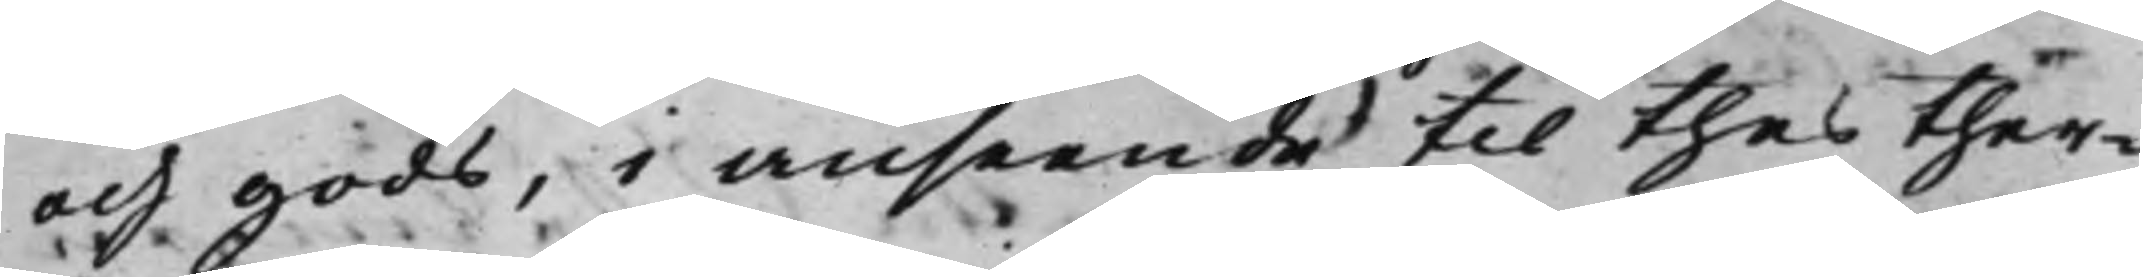och gods, i anseende till thes ther¬
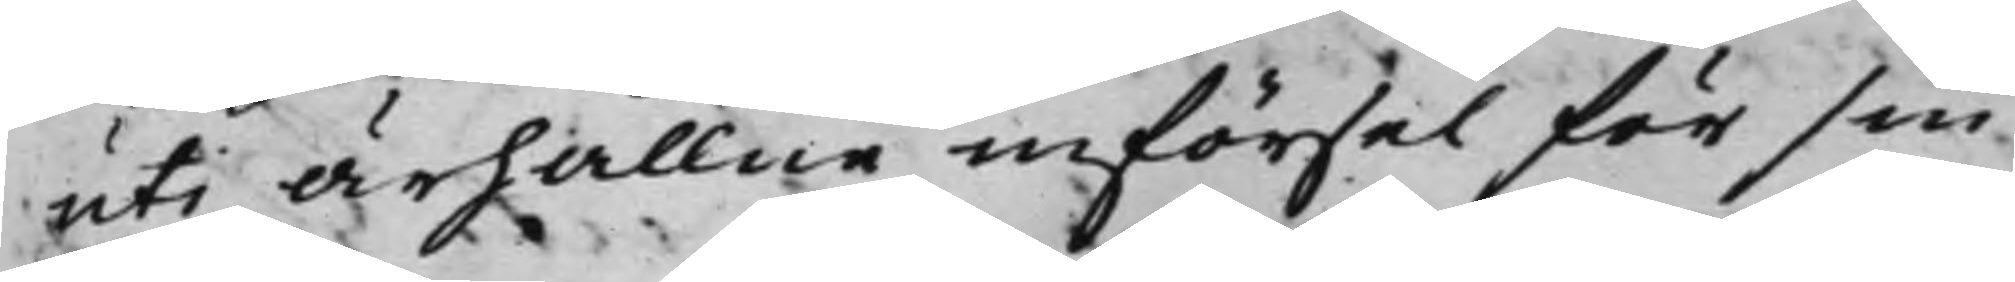uti ärhållne införsel för sin
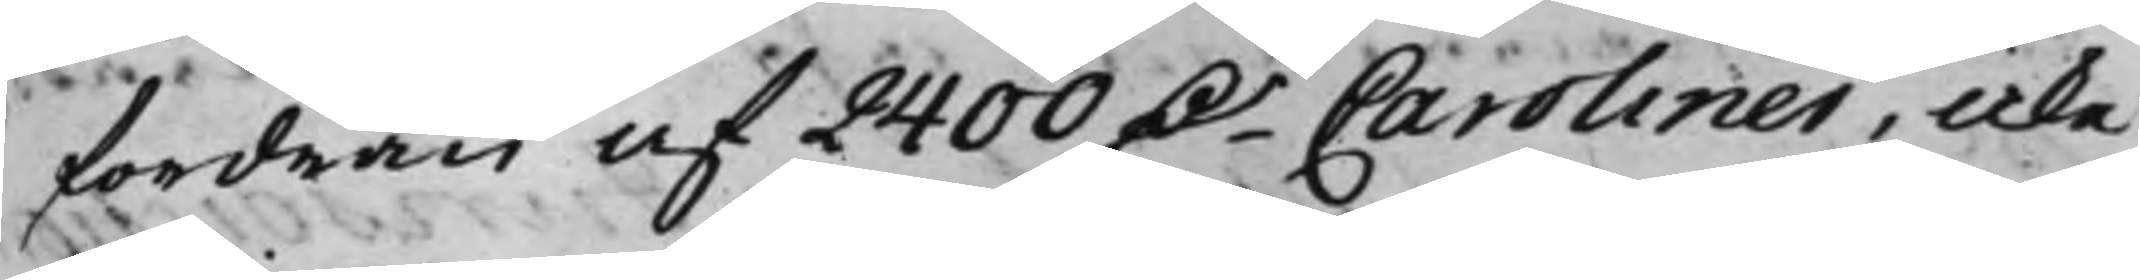fordran af 2400 D.r Caroliner, icke
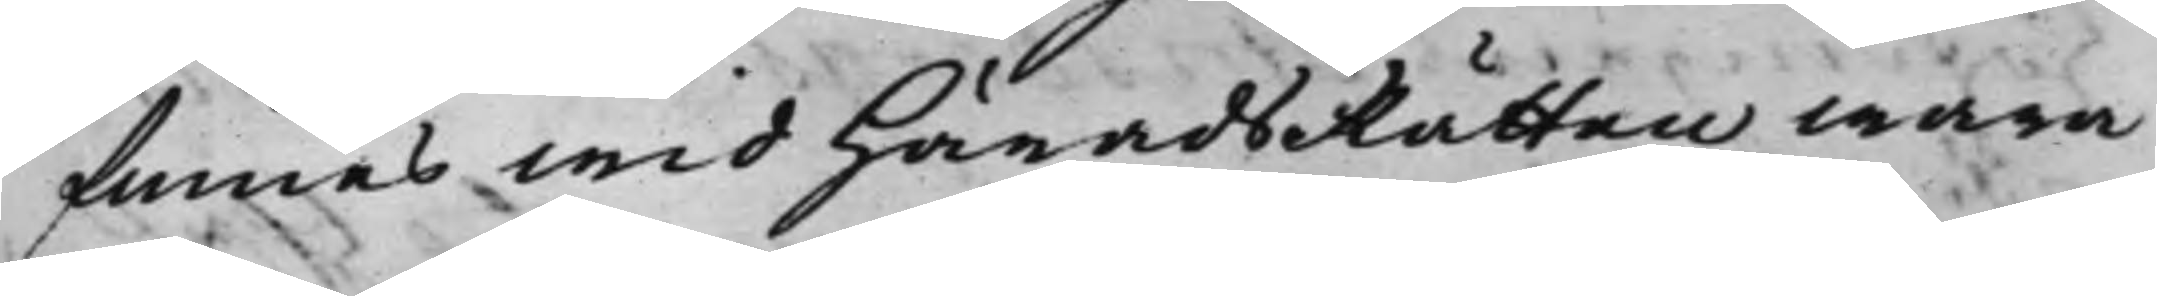finnes wid HäradsRätten wara
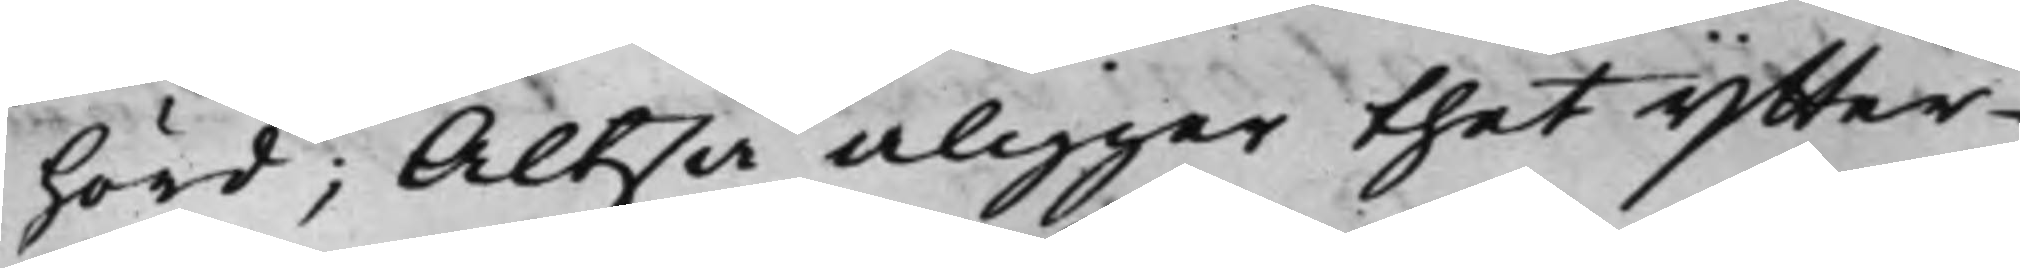hörd; Altså åligger thet Ytter¬
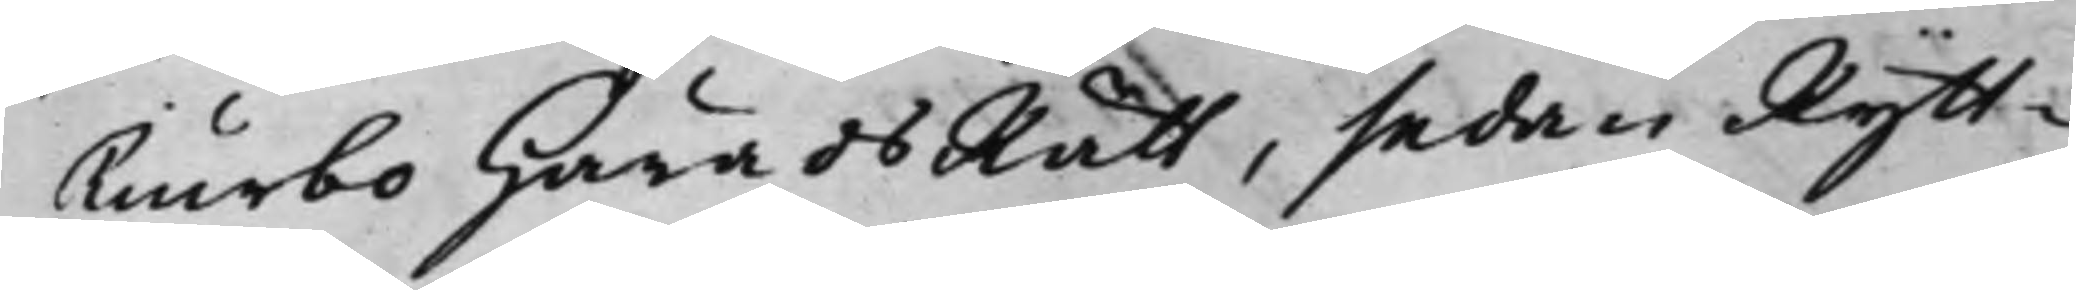Tiurbo HäradsRätt, sedan Rytt¬
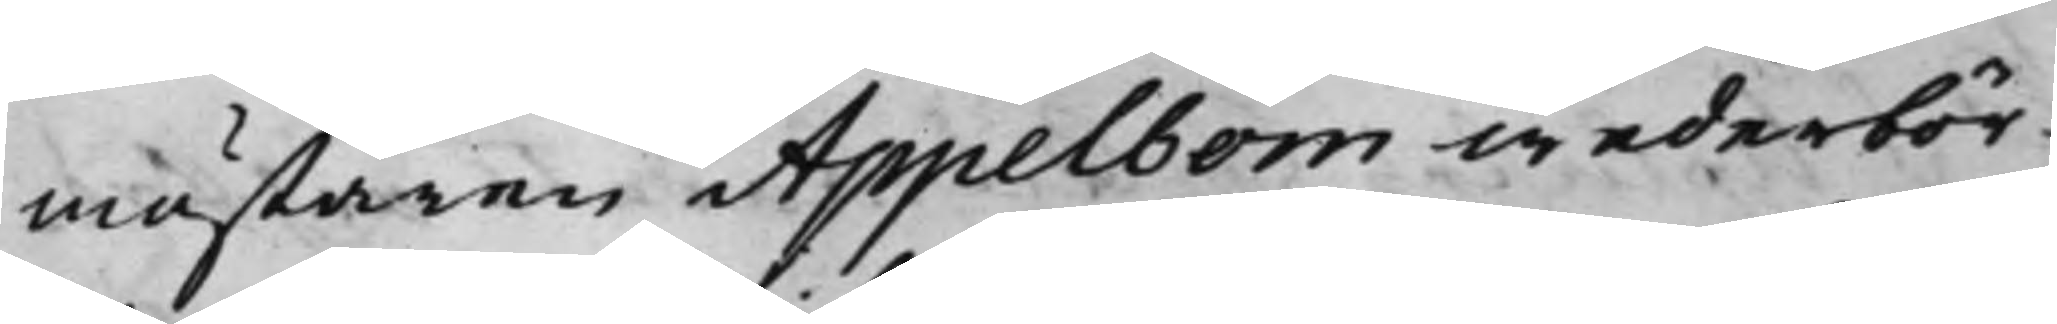mästaren Appelbom wederbör¬
